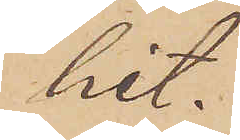hit.
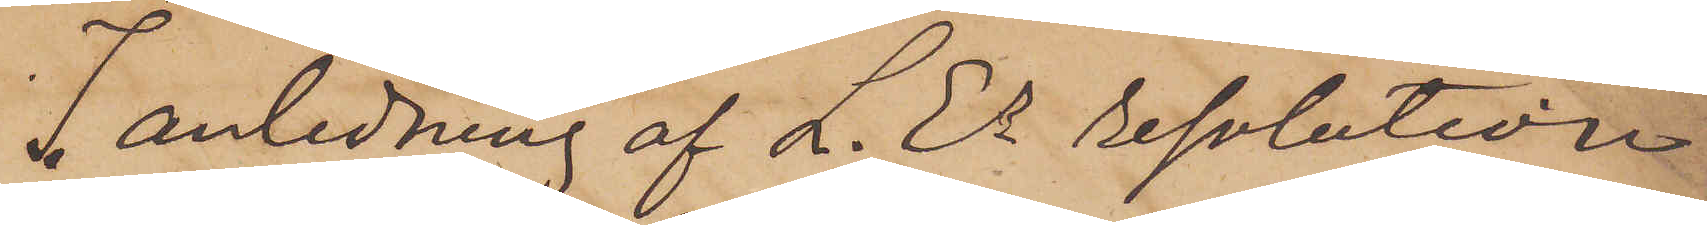I anledning af L. Es resolution
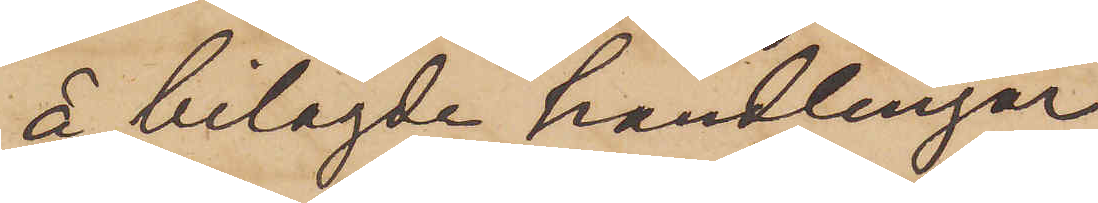å bilagde handlingar
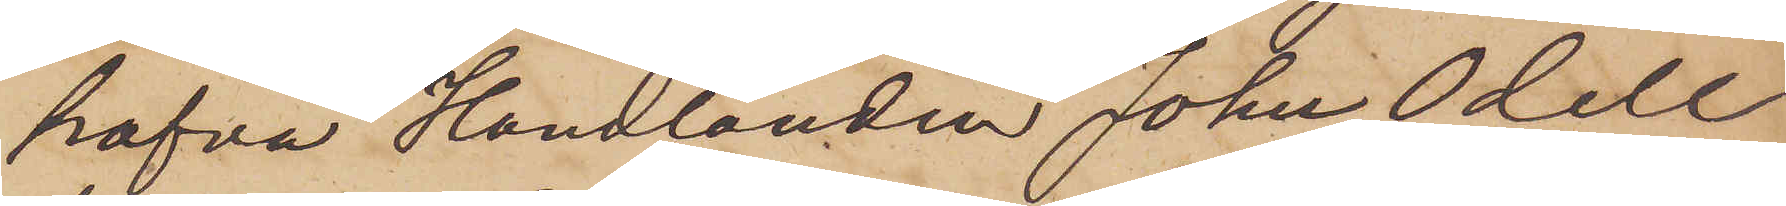hafva Handlanden John Odell
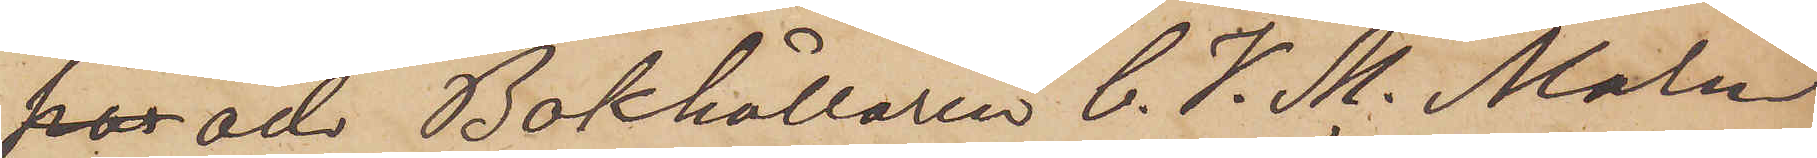hor och Bokhållaren C. V. M. Malm
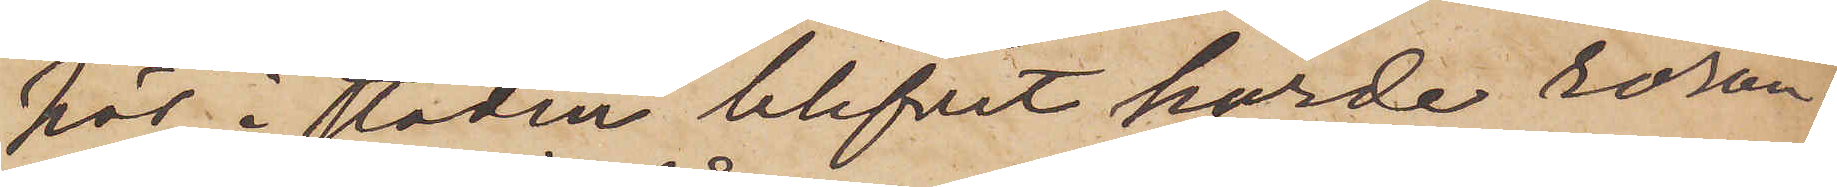här i staden blifvit hörde röran¬
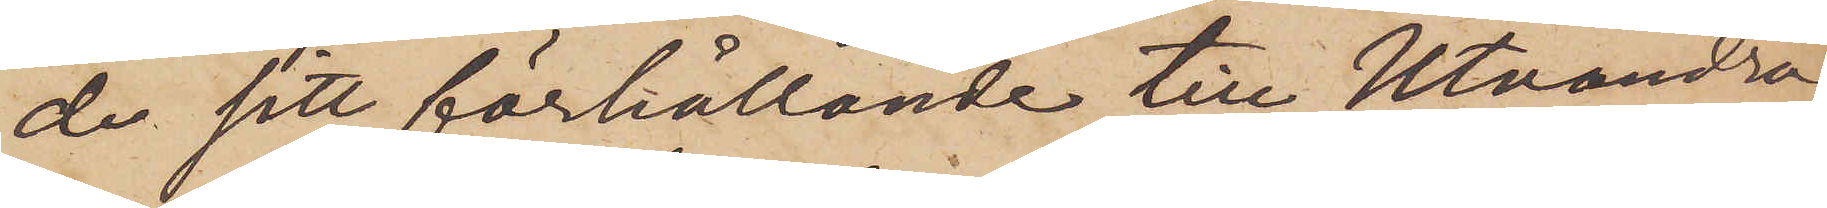de sitt förhållande till Utvandra¬
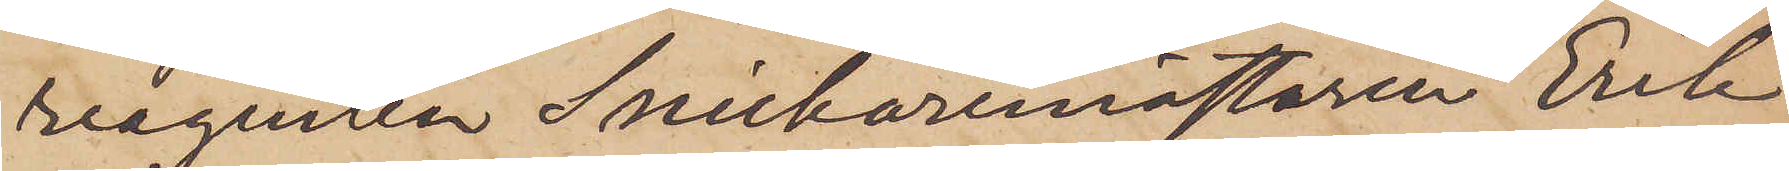reagenten Snickaremästaren Erik
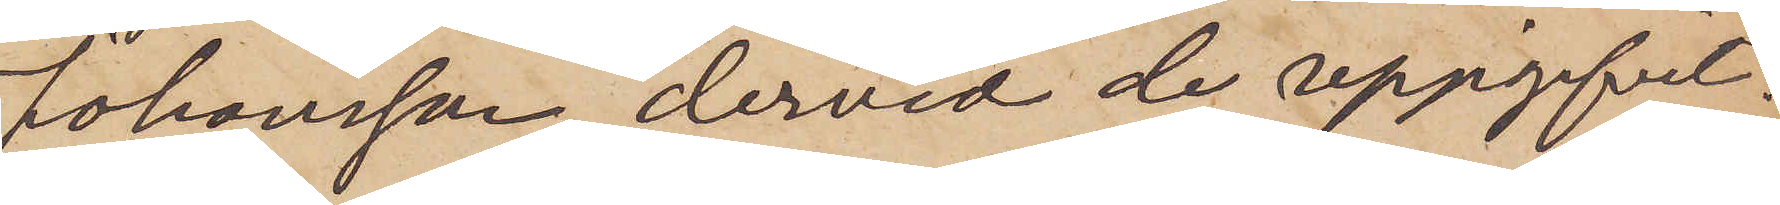Johansson, dervid de uppgifvit:
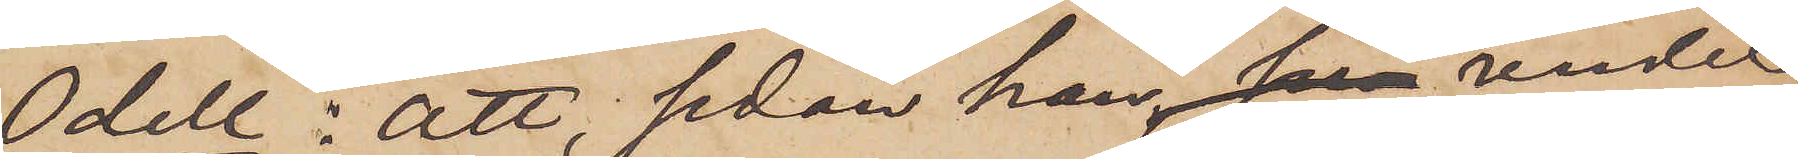Odell: att sedan han han under
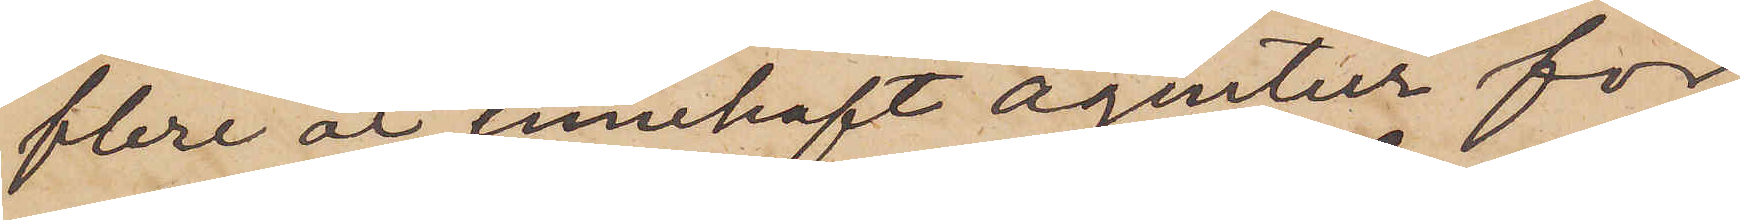flere år innehaft agentur för
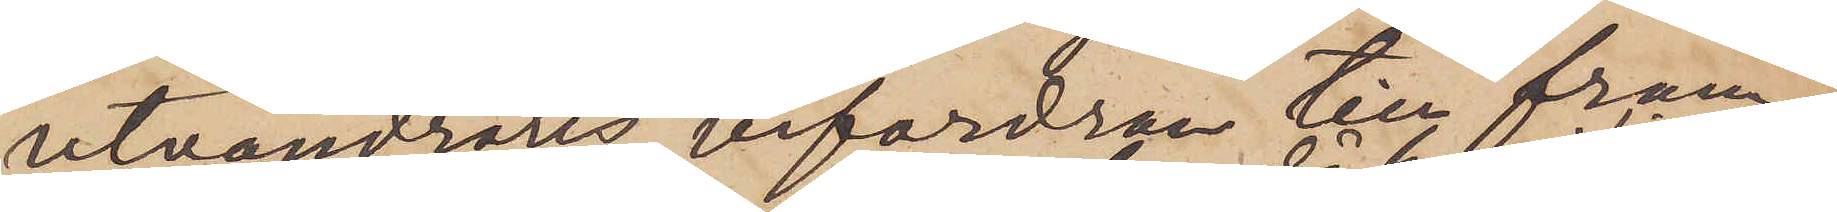utvandrares befordran till främ¬
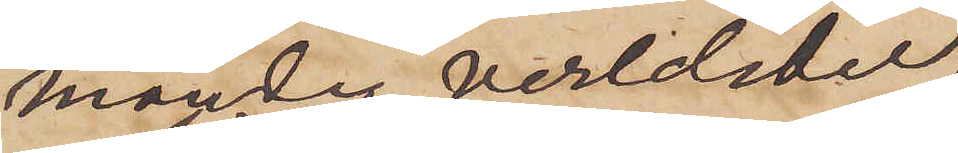mande verldsdel
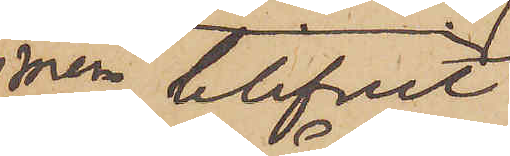men blifvit
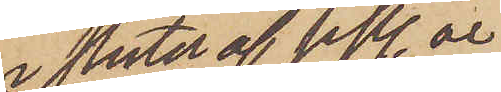i slutet af sistl. år
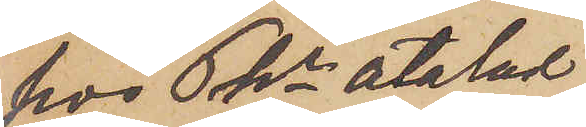hos Pkr åtalad
